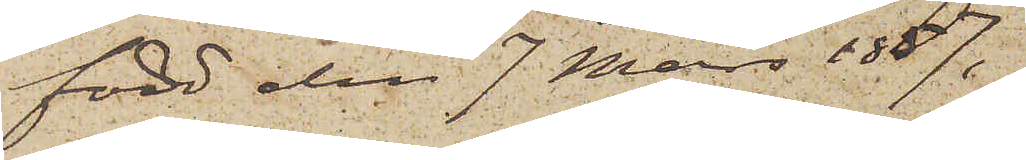född den 7 Mars 1857,
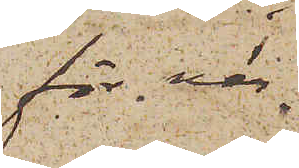för när¬
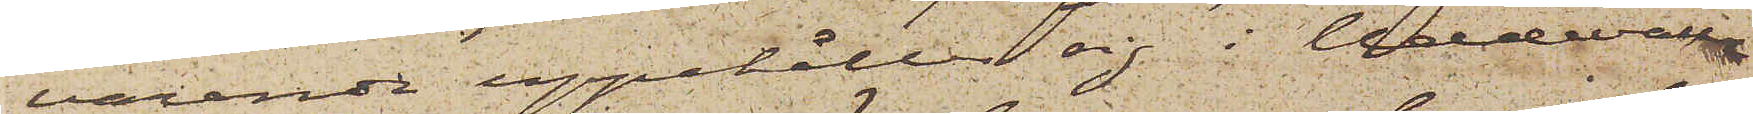varande uppehåller sig i Uddevalla
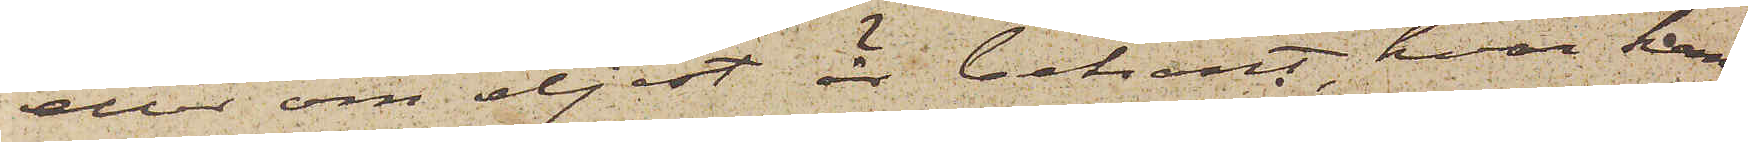eller om eljest är bekant, hvar han
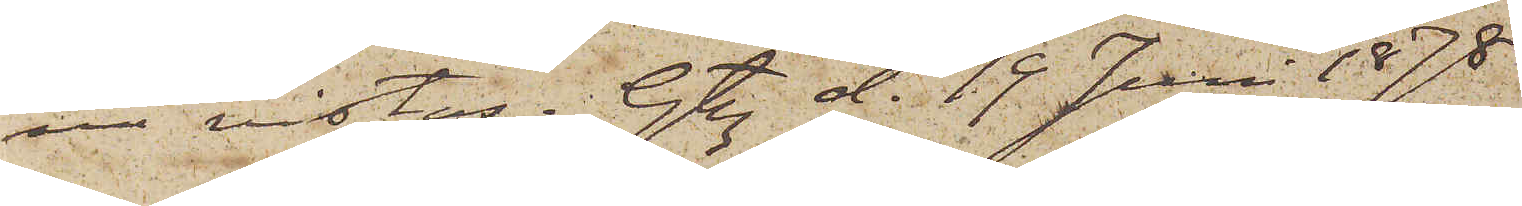nu vistas. Gtbg d. 19 Juni 1878.
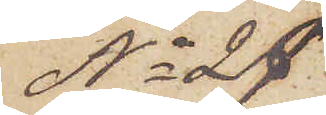No 27.
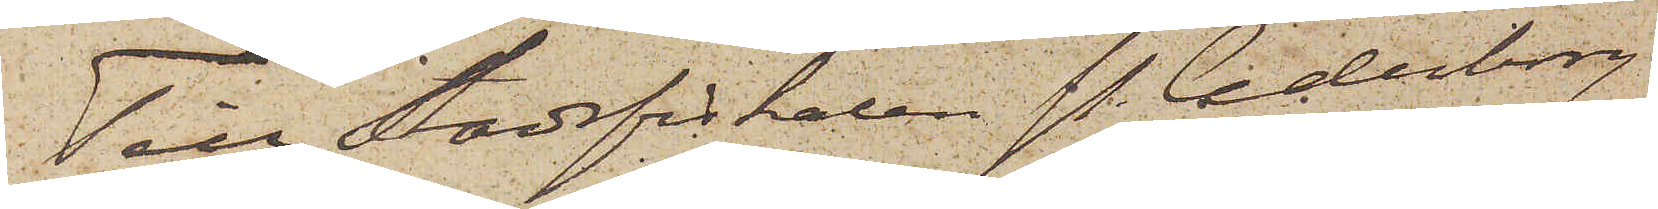Till Stadsfiskalen P. Cederborg
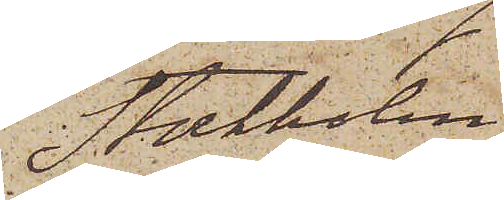Stockholm
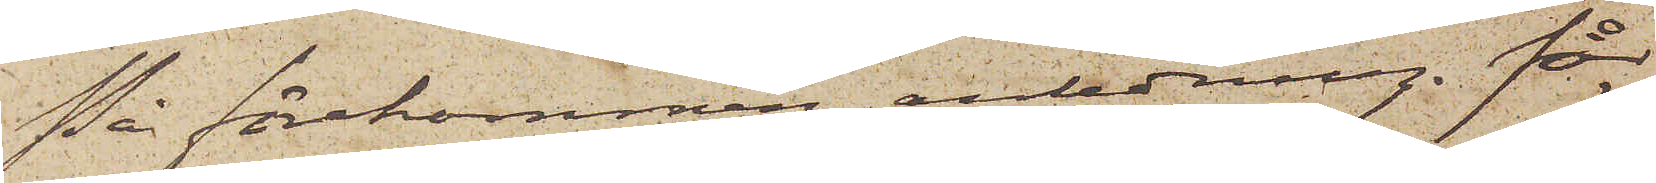På förekommen anledning får
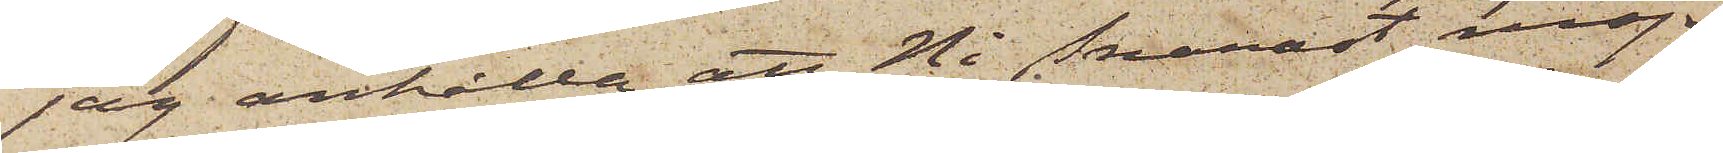jag anhålla att Ni Snarast möj¬
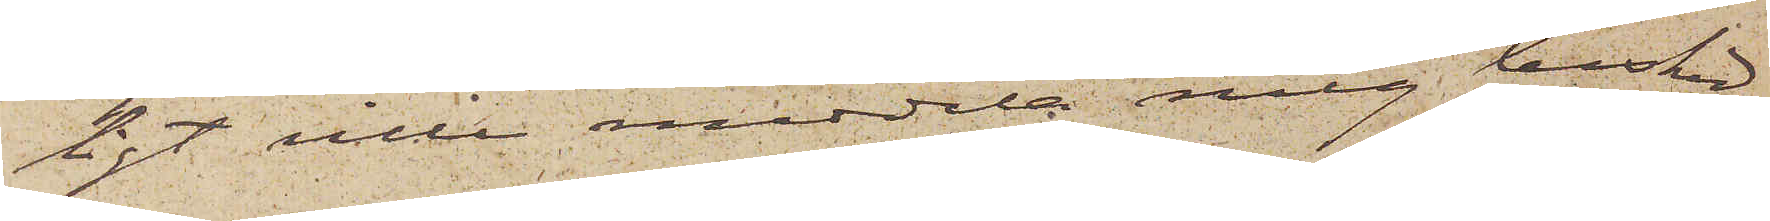ligt ville meddela mig besked
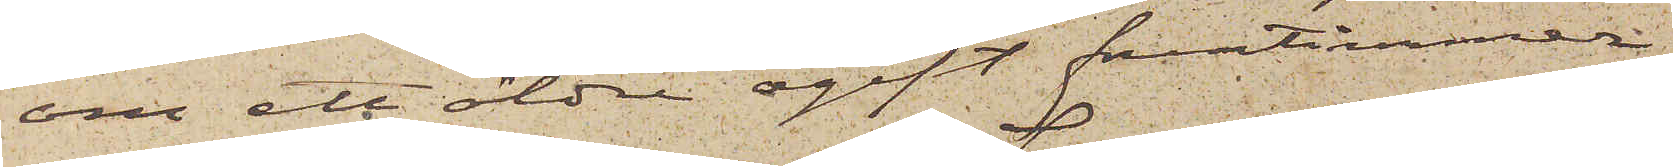om ett äldre ogift fruntimmer
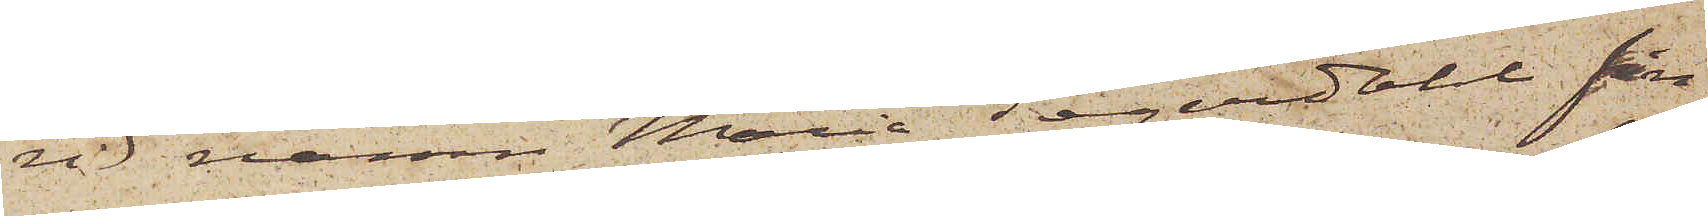vid namn Maria Segerdahl fin¬
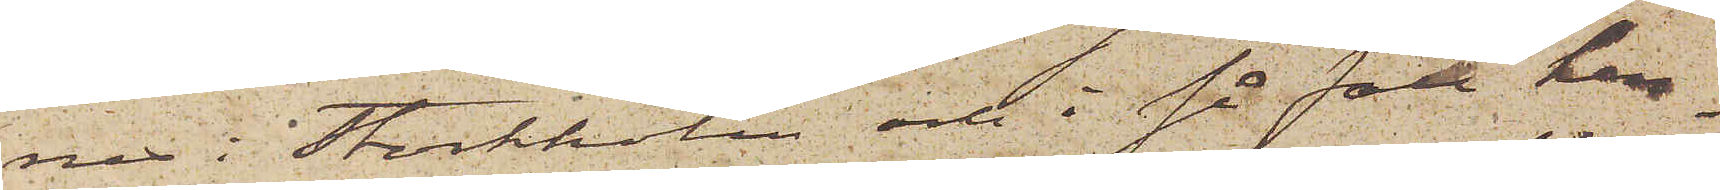nes i Stockholm och i så fall hen¬
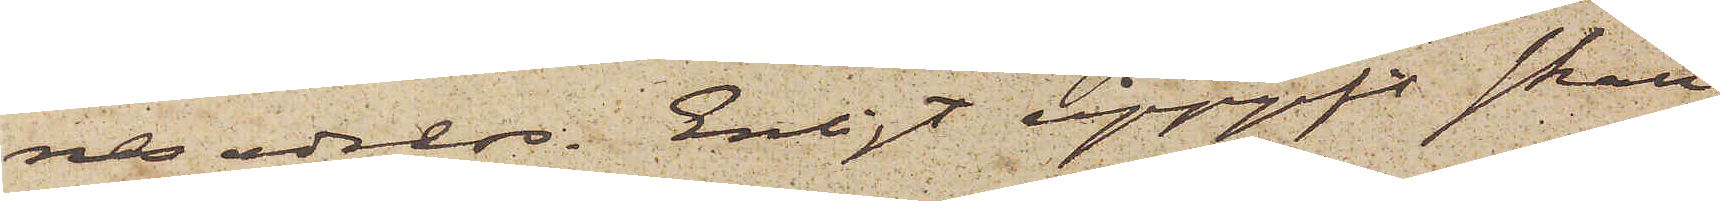nes adress. Enligt uppgift skall
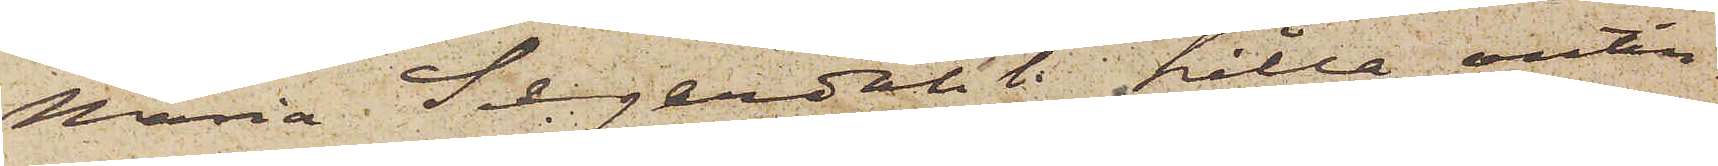Maria Segerdahl hålla antin¬
